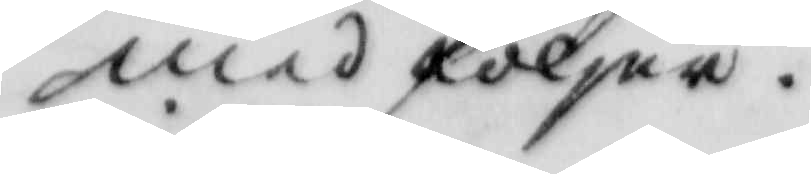med följer.
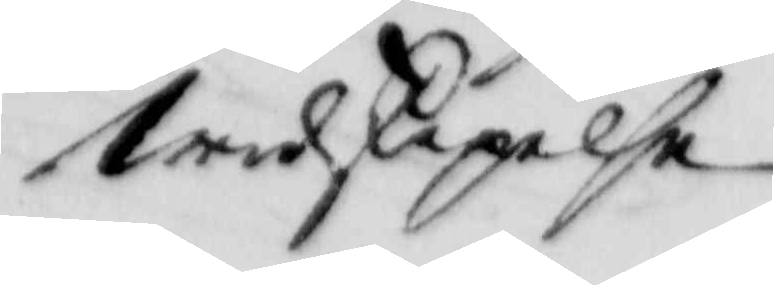widskepelse
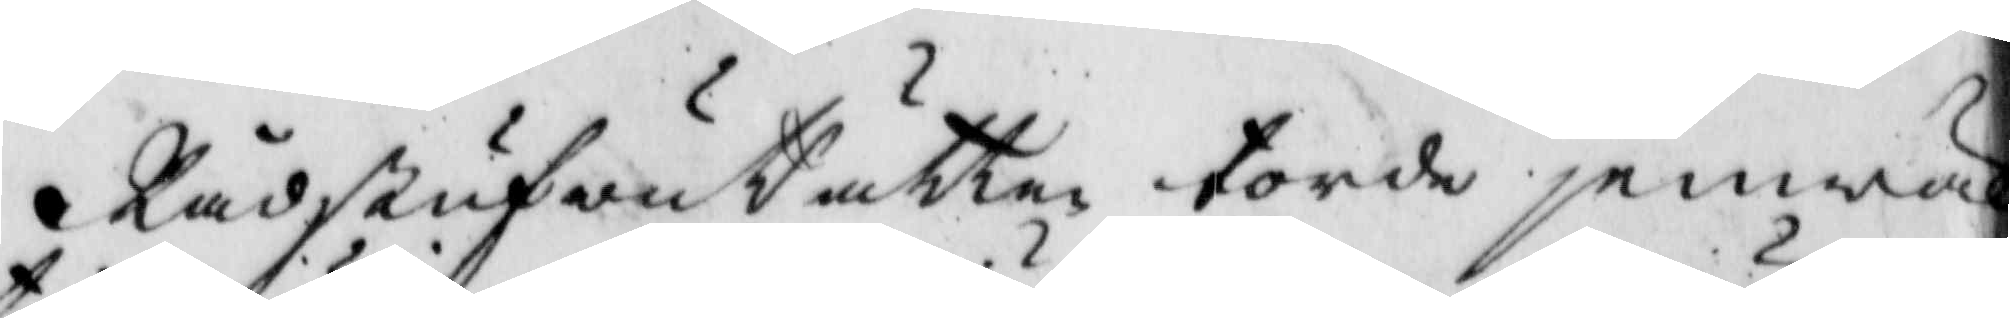RådstufwuRätten torde jemwäl
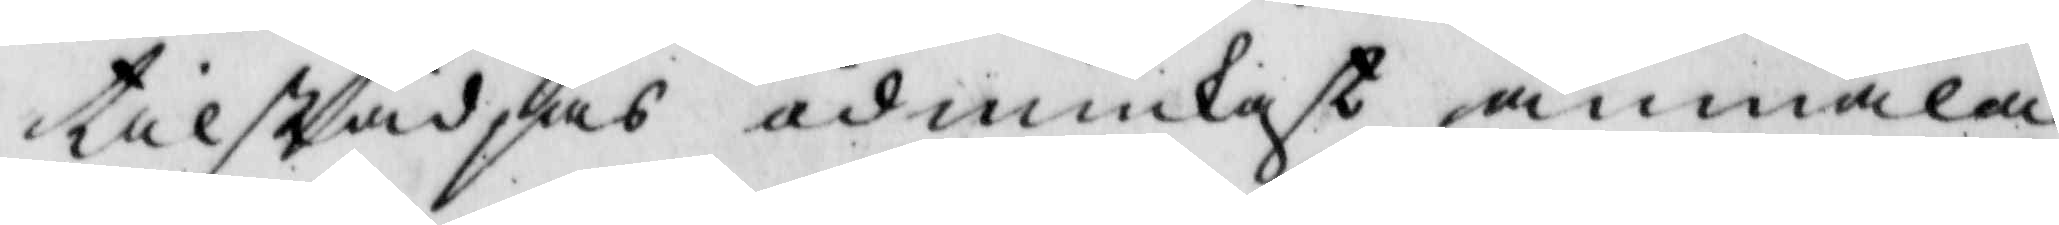tilstädes ödmiukast anmäla
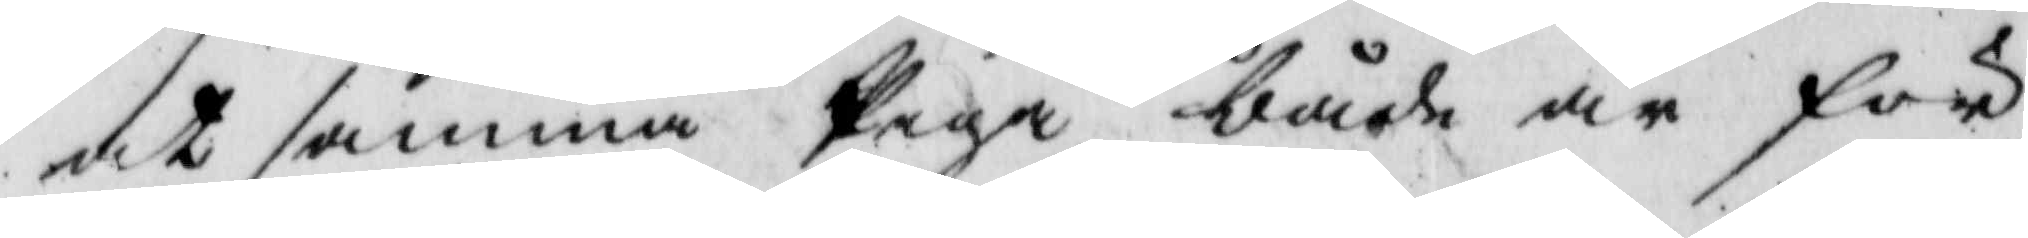at samma Piga både är för¬
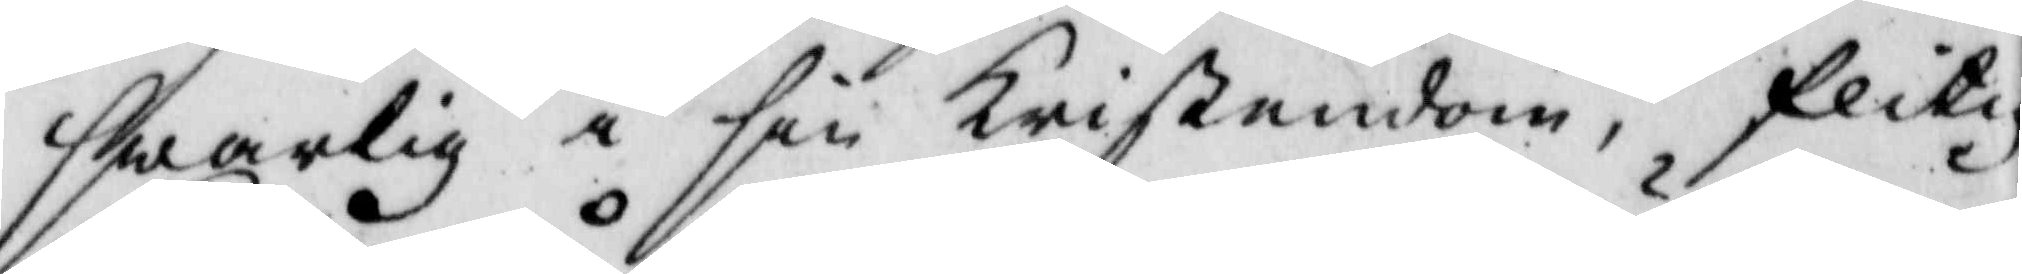swarlig i sin kristendom, flitig
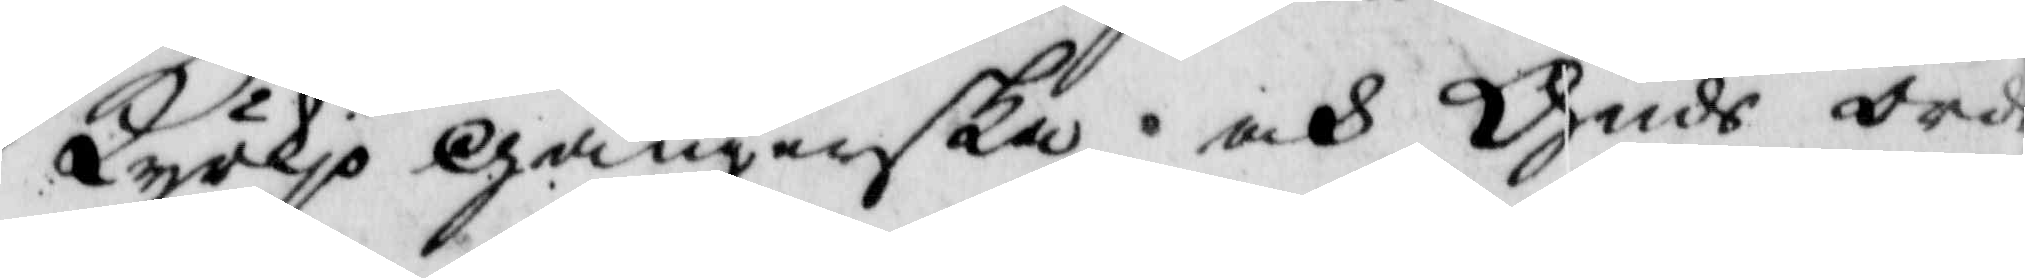Kyrkio gångerska och Guds ords
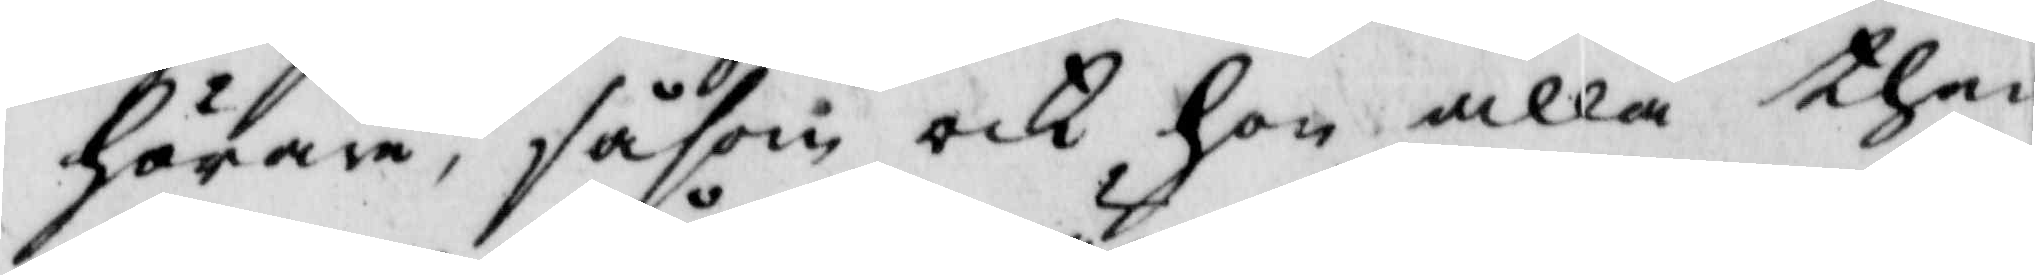hörare, såsom och hon alla then
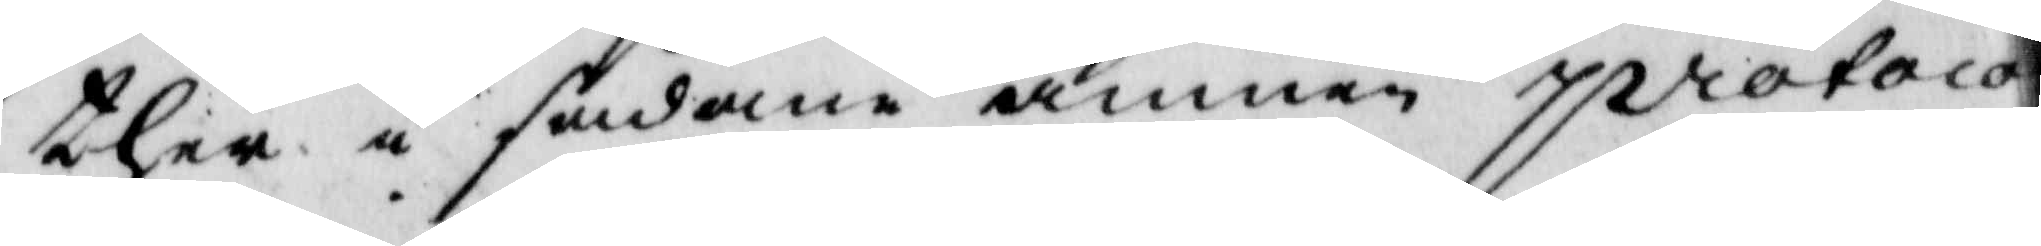ther i sådane ämnen protocol¬
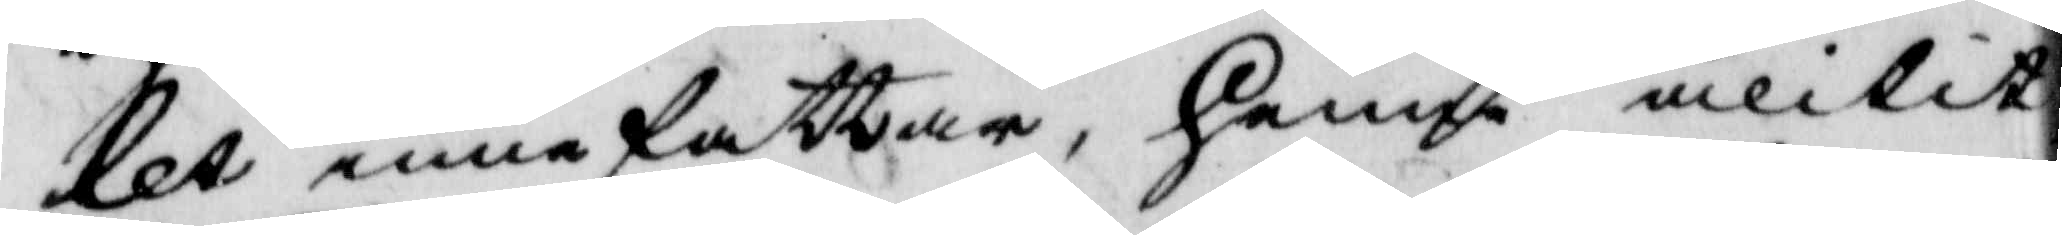let inne fattar, henne ålitit
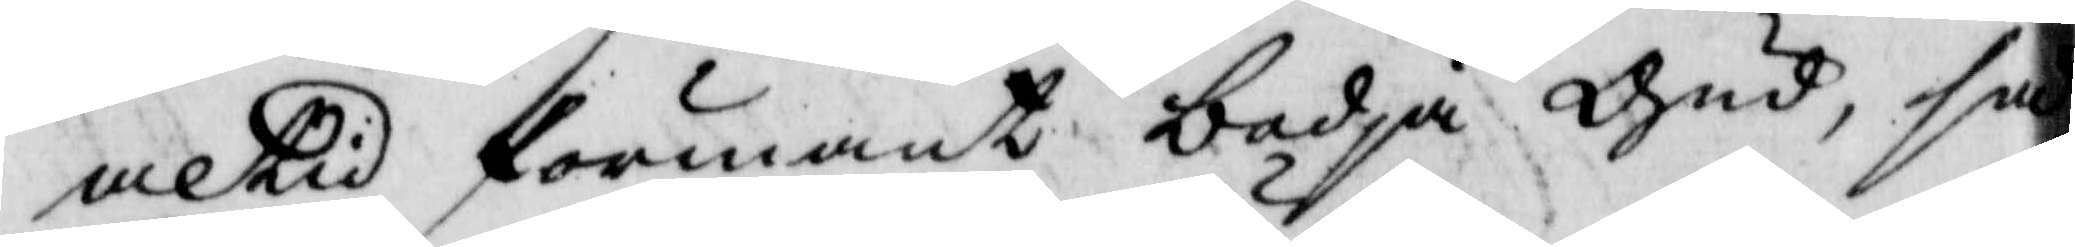altid förmant bedja Gud, så
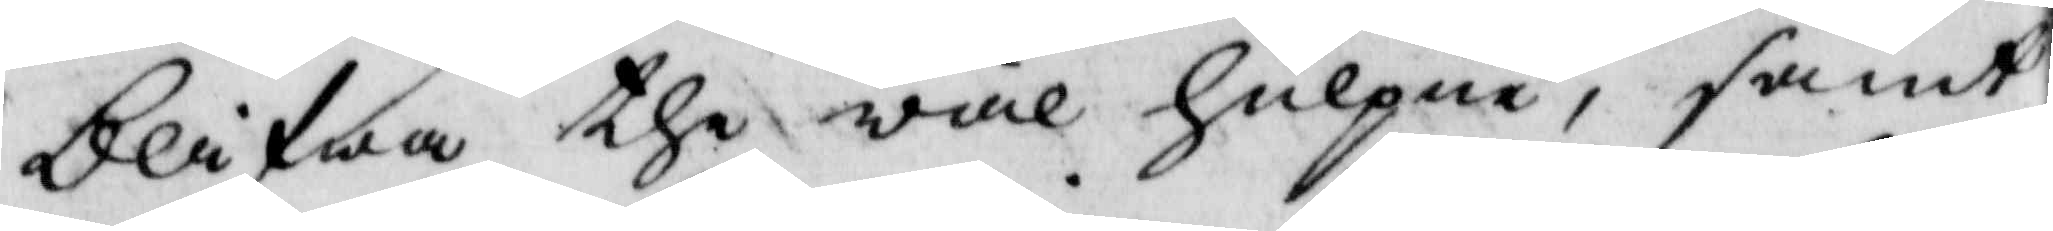blifwa the wäl hulpne, samt
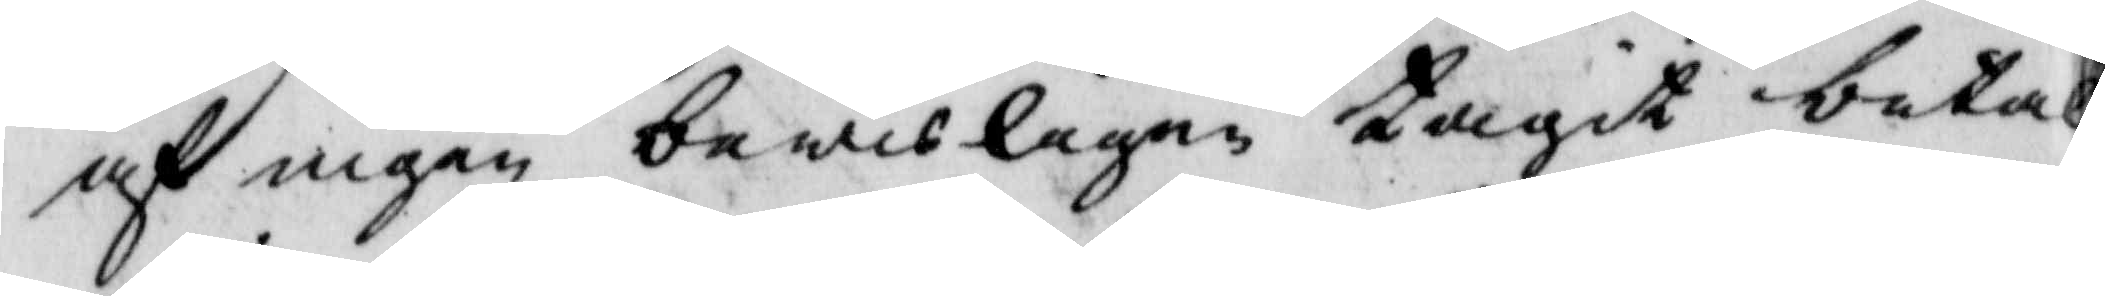af ingen bewisligen tagit betal¬
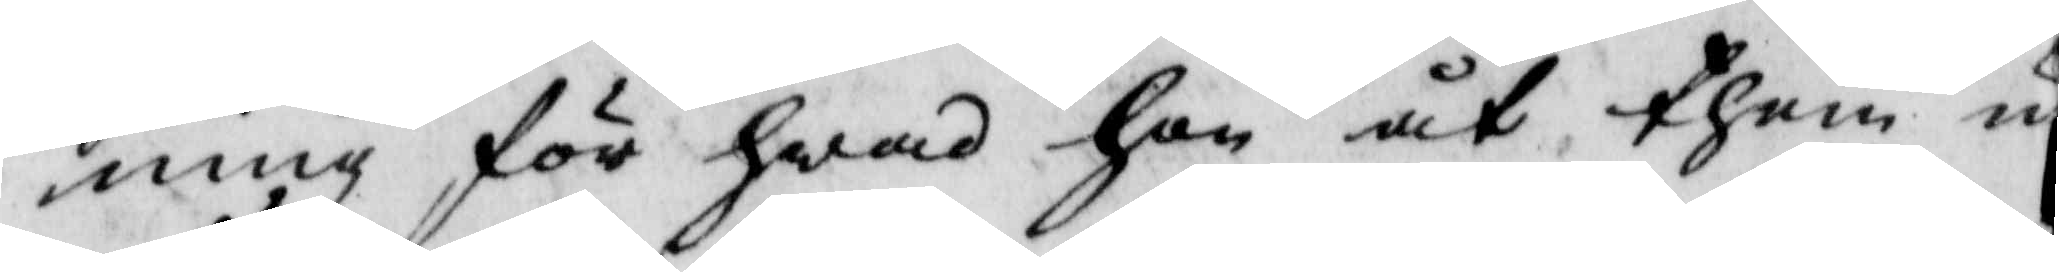ning för hwad hon at them ut¬
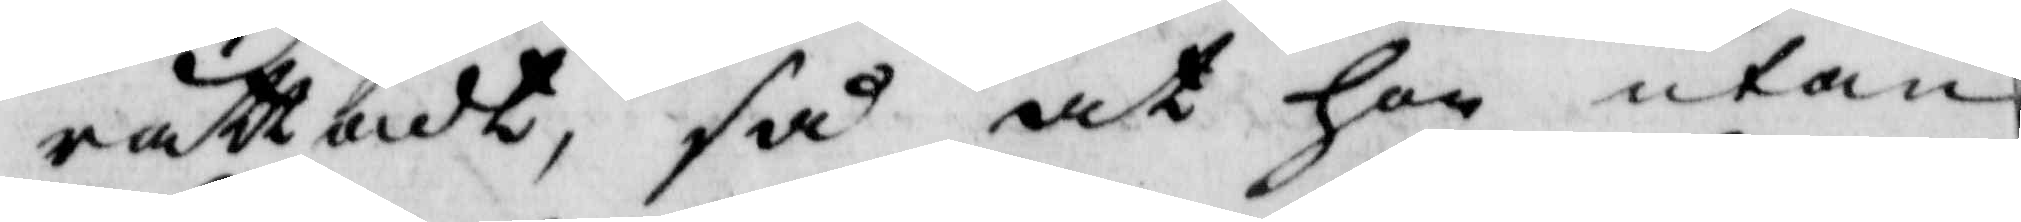rättadt, så at hon utom
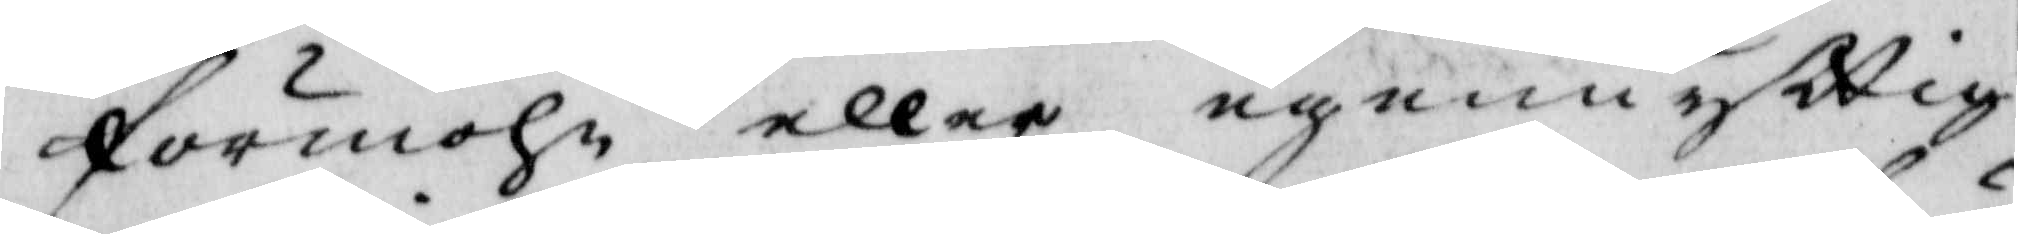förmohn eller egennyttig
